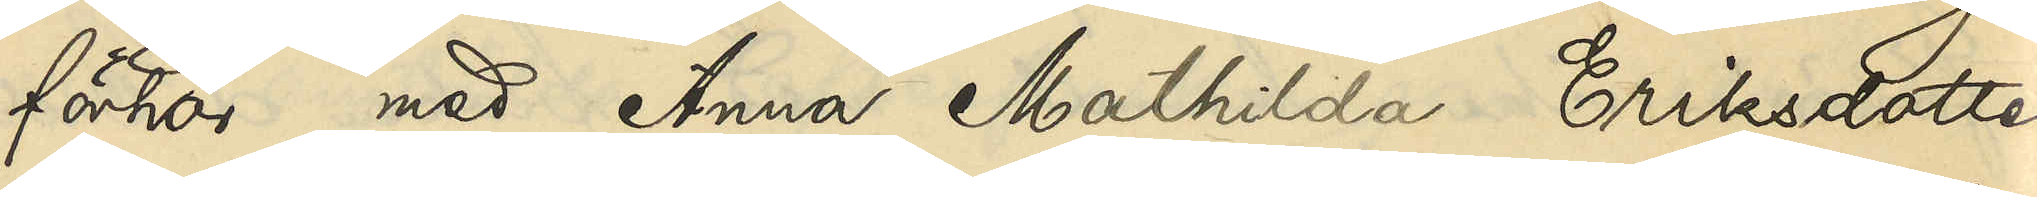förhör med Anna Mathilda Eriksdotter
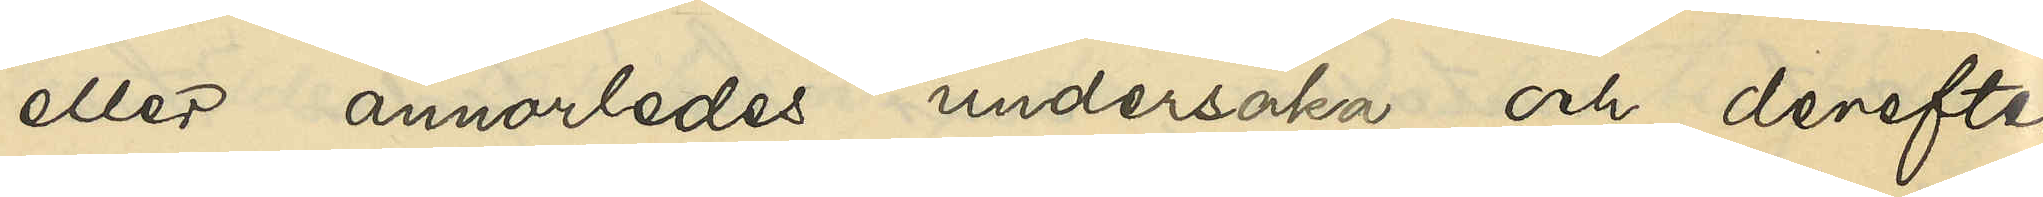eller annorledes undersöka och derefter
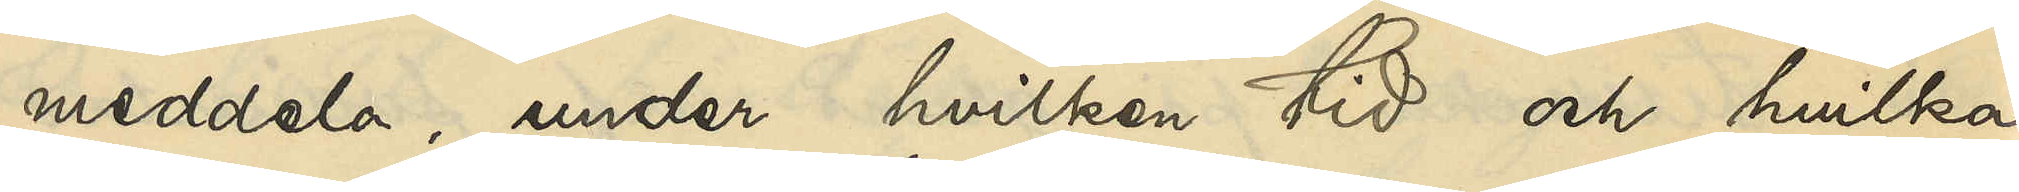meddela, under hvilken tid och hvilka
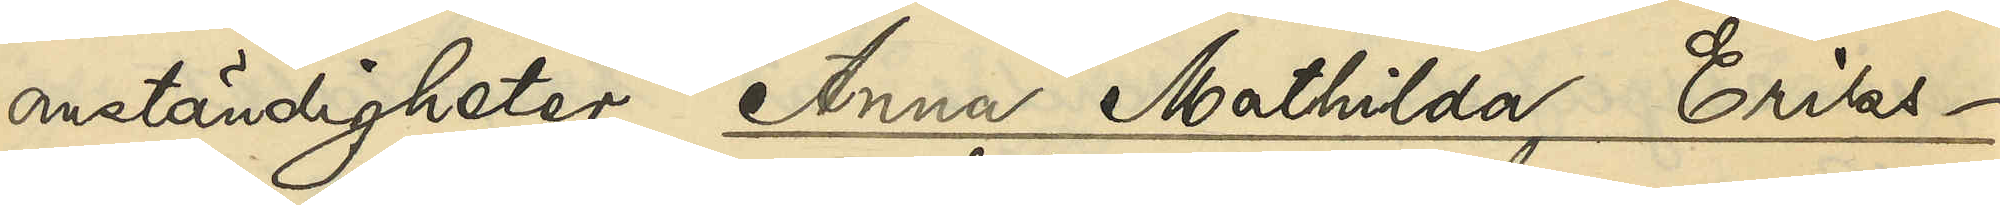omständigheter Anna Mathilda Eriks¬
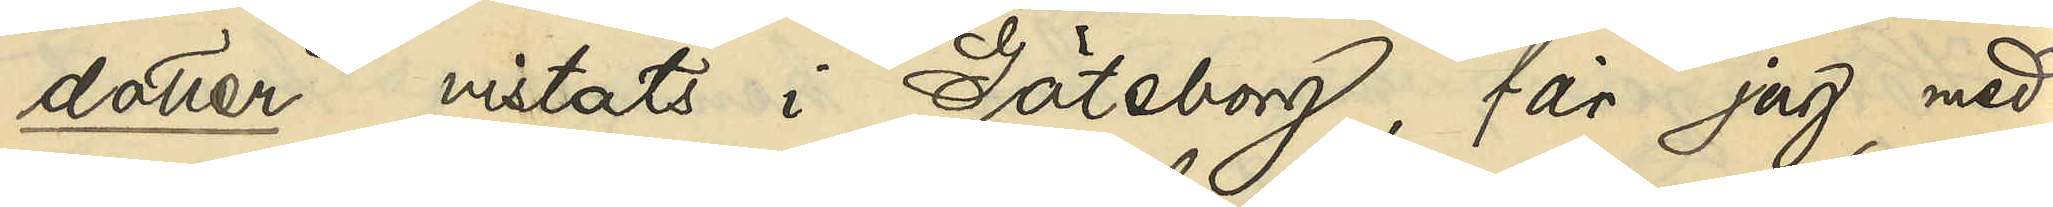dotter vistats i Göteborg, får jag med¬
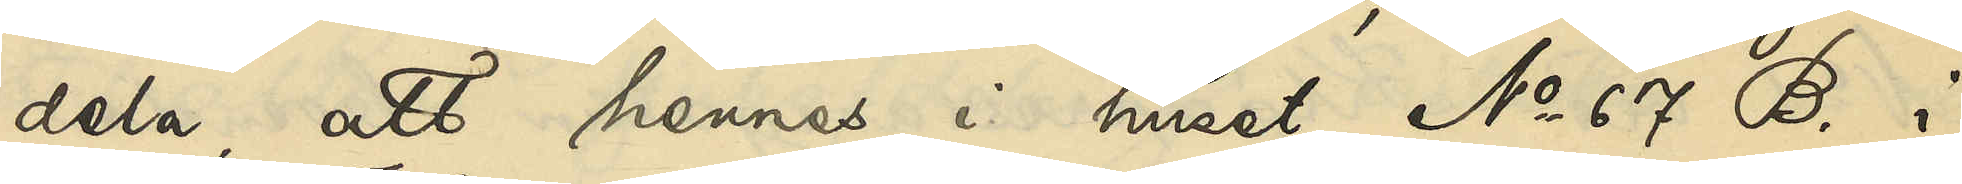dela, att hennes i huset No 67 B i
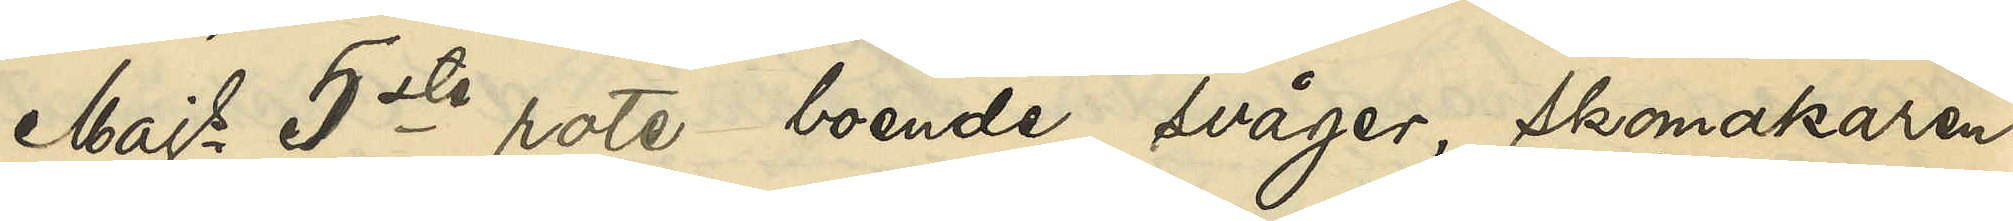Majs 5te rote boende svåger, skomakaren
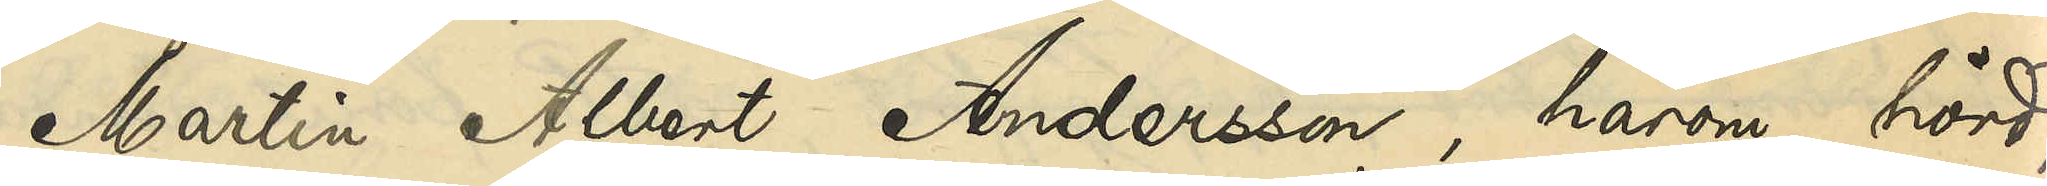Martin Albert Andersson, härom hörd,
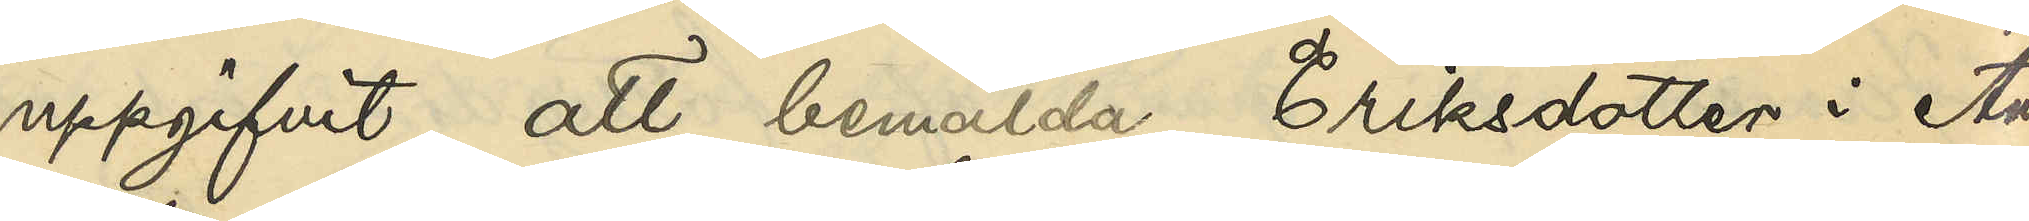uppgifvit, att bemälda Eriksdotter i Au¬
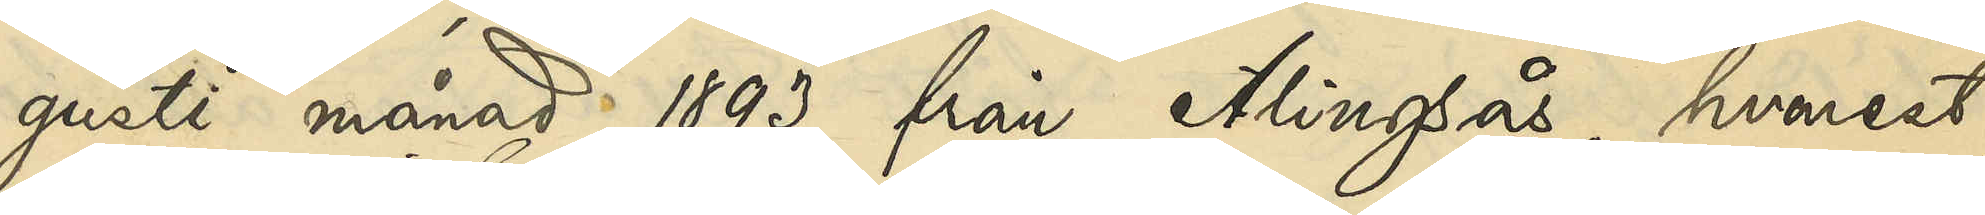gusti månad 1893 från Alingsås, hvarest
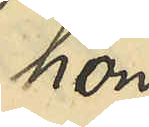hon
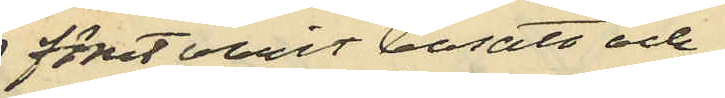förut varit bosatt och
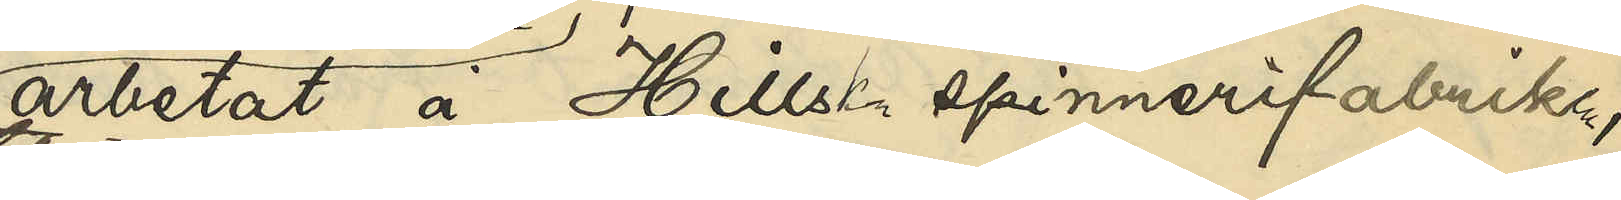arbetat å Hillska spinnerfabriken
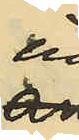in¬
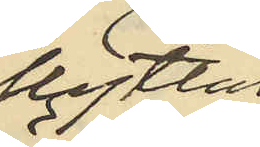flyttat 
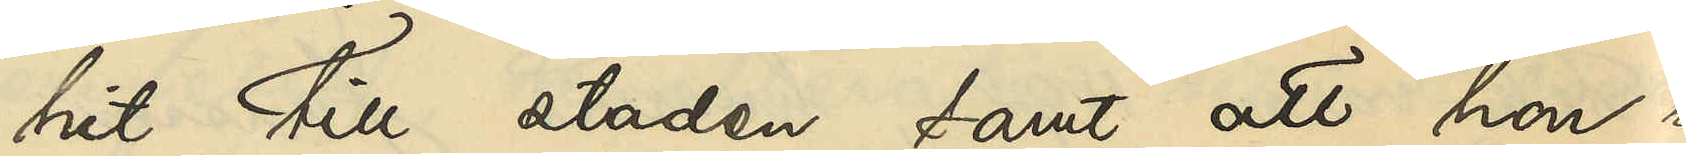hit till staden samt att hon här
